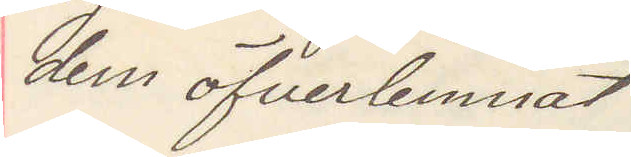dem öfverlemnat
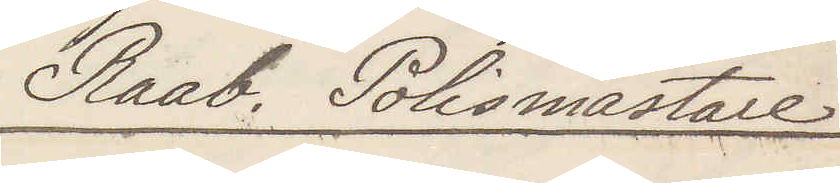Raab. Polismästare
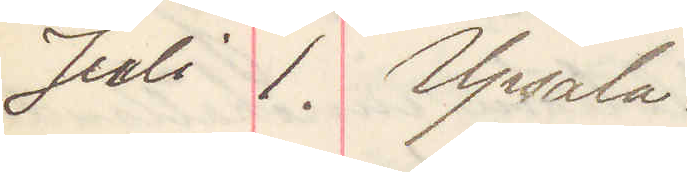Juli 1. Upsala
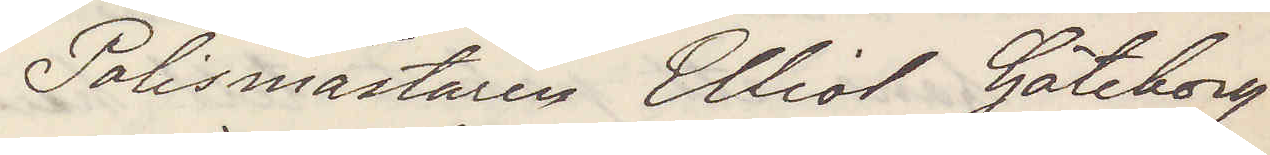Polismästaren Elliot Göteborg
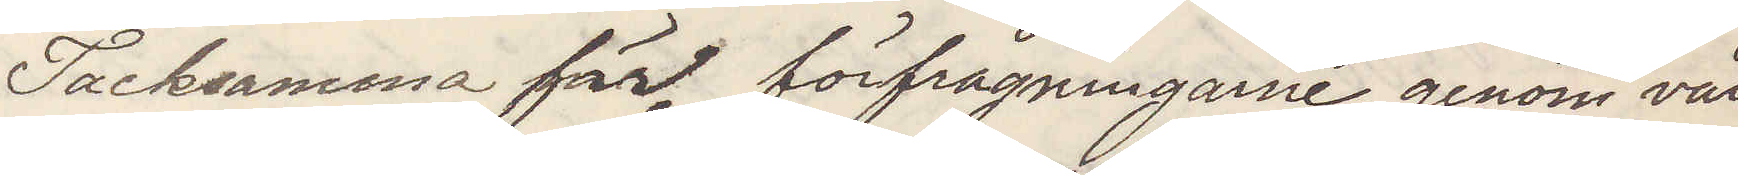Tacksamma för förfrågningarne genom vår
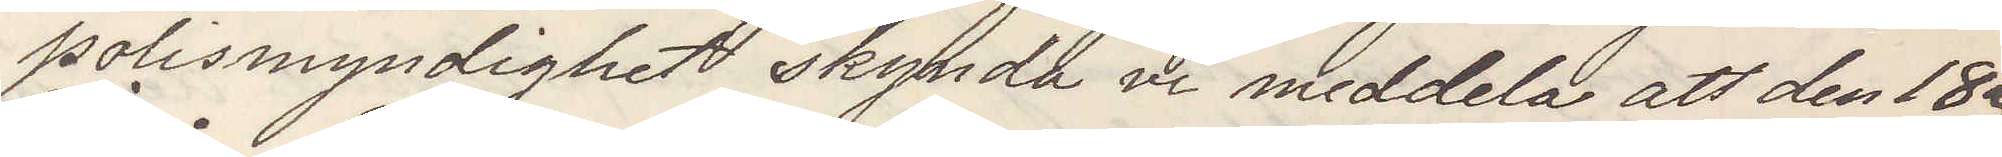polismyndighet skynda vi meddela att den 18e
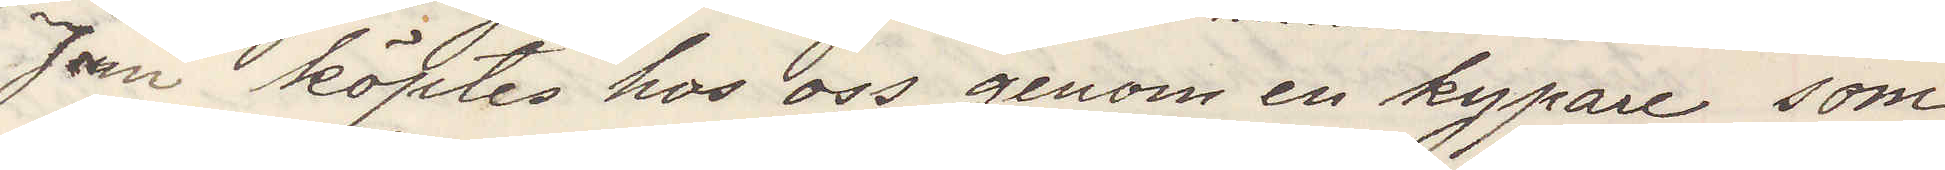Juni köptes hos oss genom en kypare som
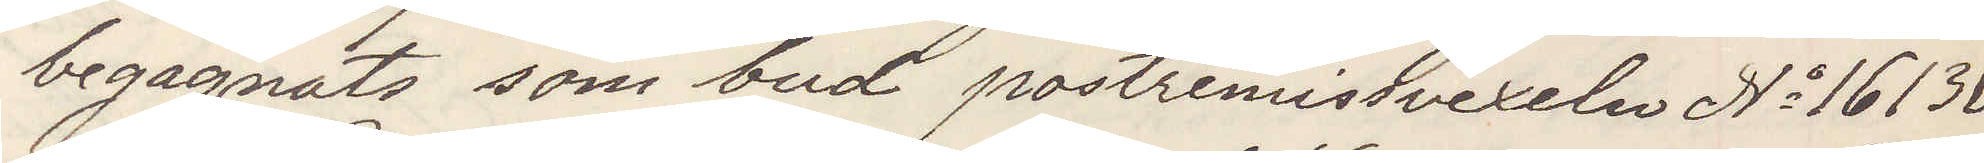begagnats som bud postremissvexeln No 16136
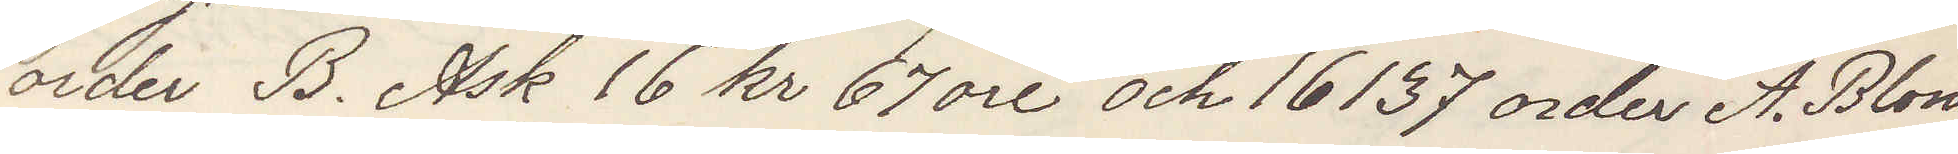order B. Ask 16 kr 67 öre och 16137 order A. Blom
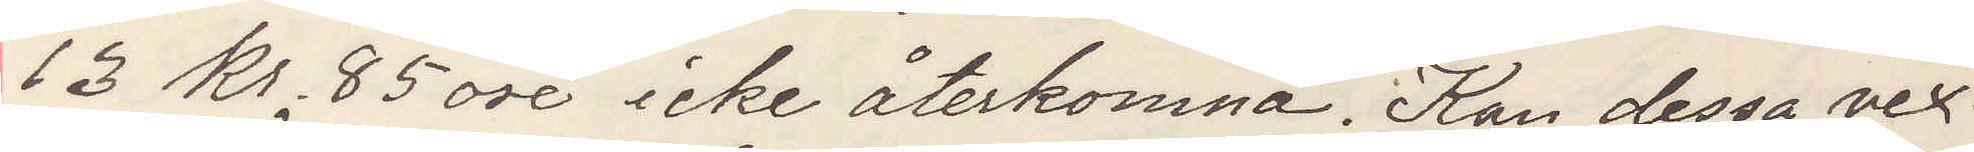13 kr 85 öre icke återkomna Kan dessa vex¬
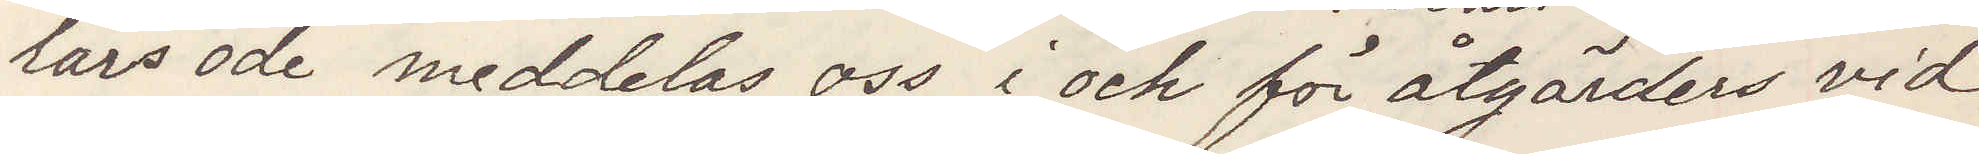lars öde meddelas oss i ock för åtgärder vid
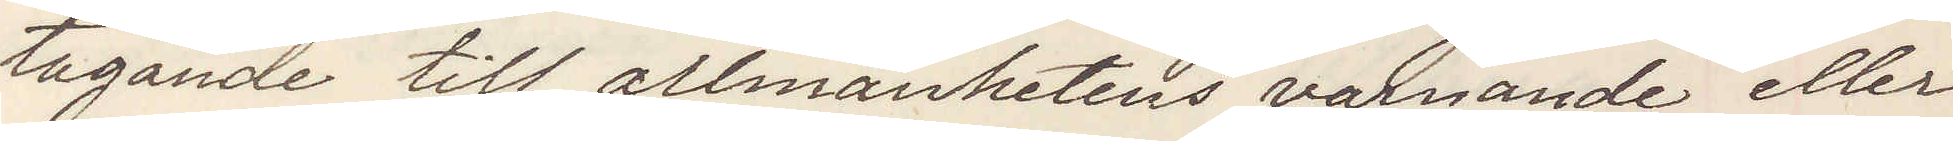tagande till allmänhetens varnande eller
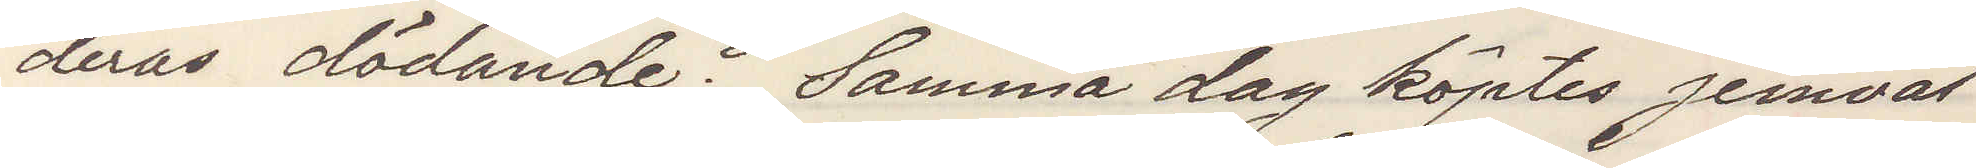deras dödande Samma dag köptes jemväl
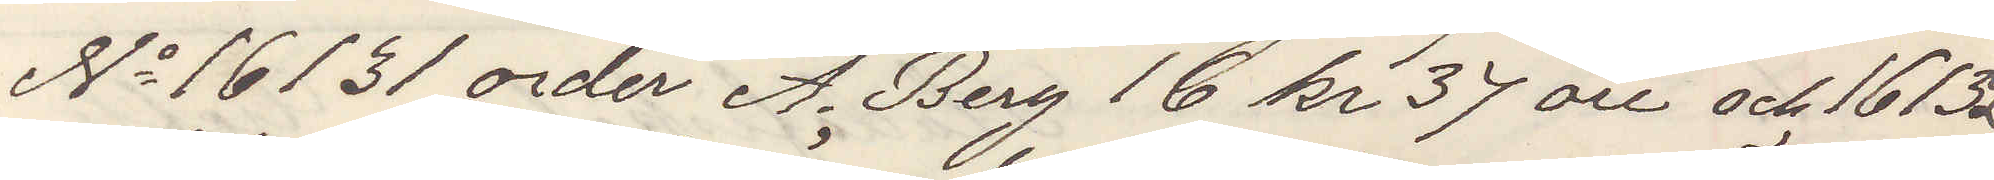No 16131 order A. Berg 16 kr 37 öre och 16132
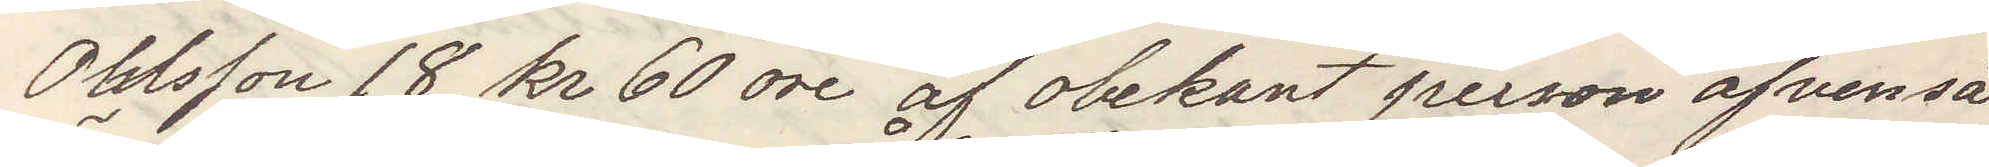Ohlsson 18 kr 60 öre af obekant person äfvenså
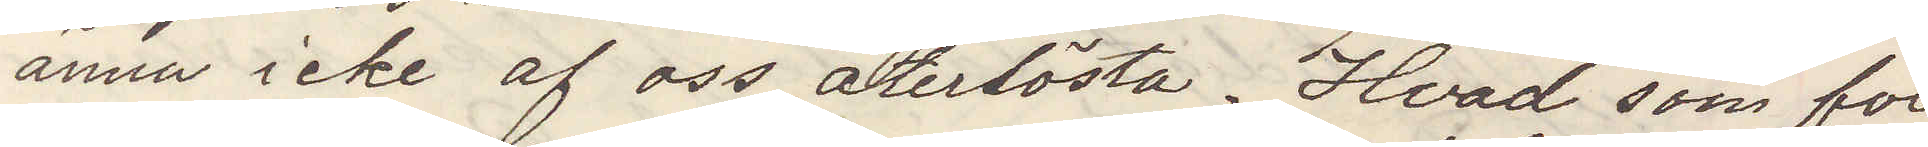ännu icke af oss återlösta. Hvad som för
